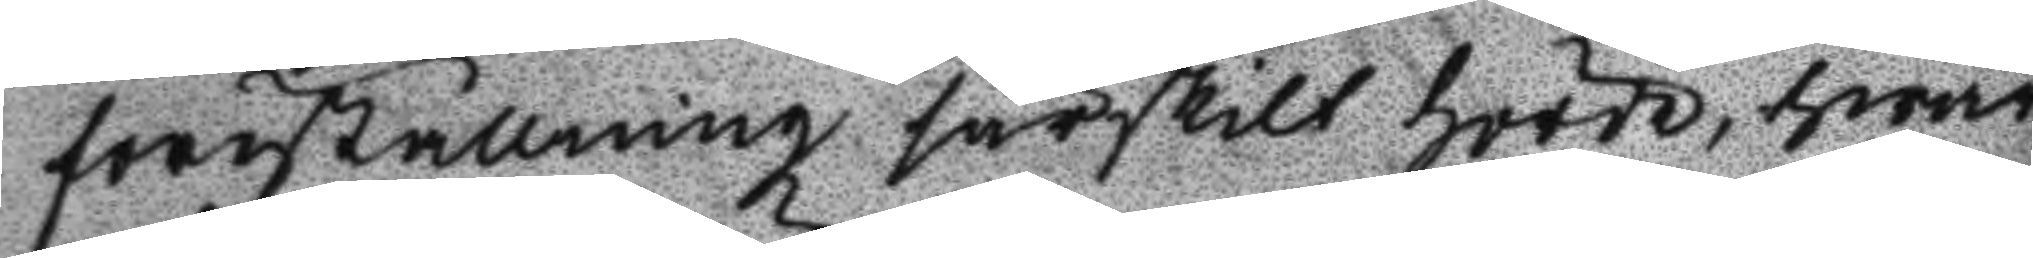föreställning särskilt hörde, hwar
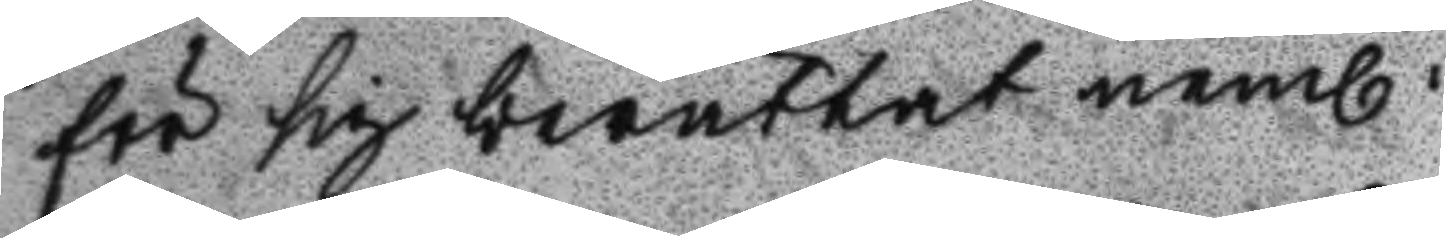för sig berättat neml.
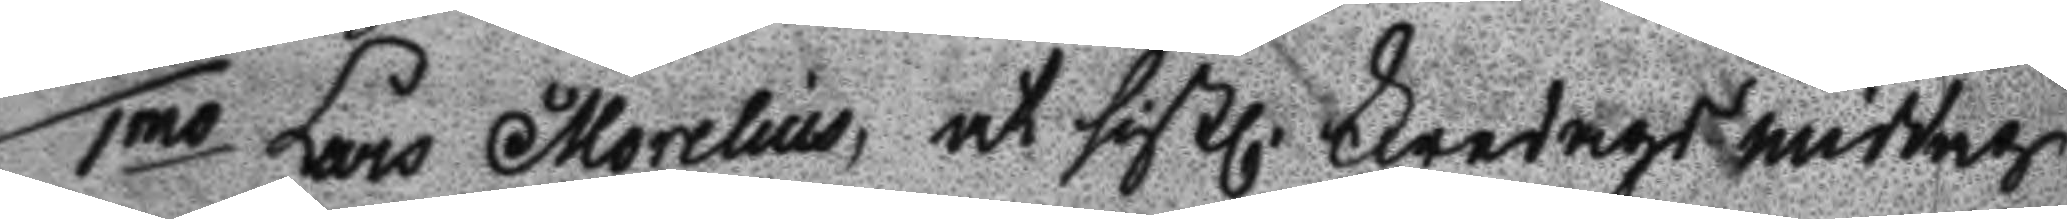1mo Lars Morelius, att sistl. fredags middag
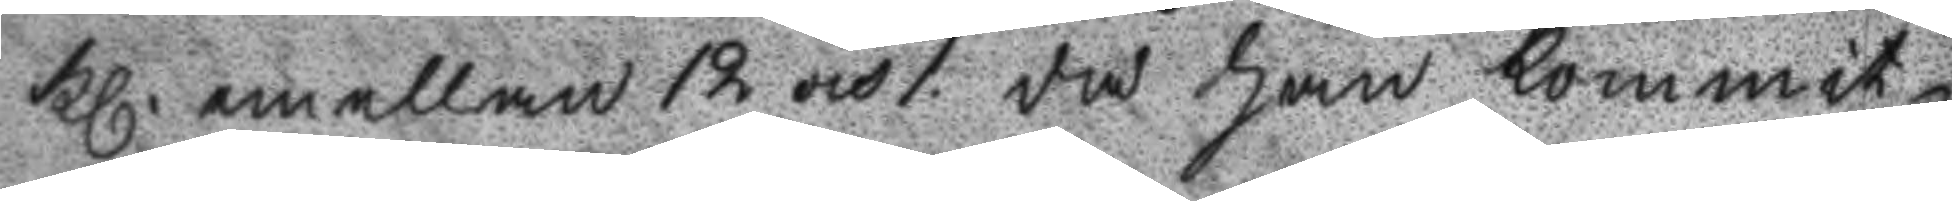Kl. emellan 12 och 1 då han kommit
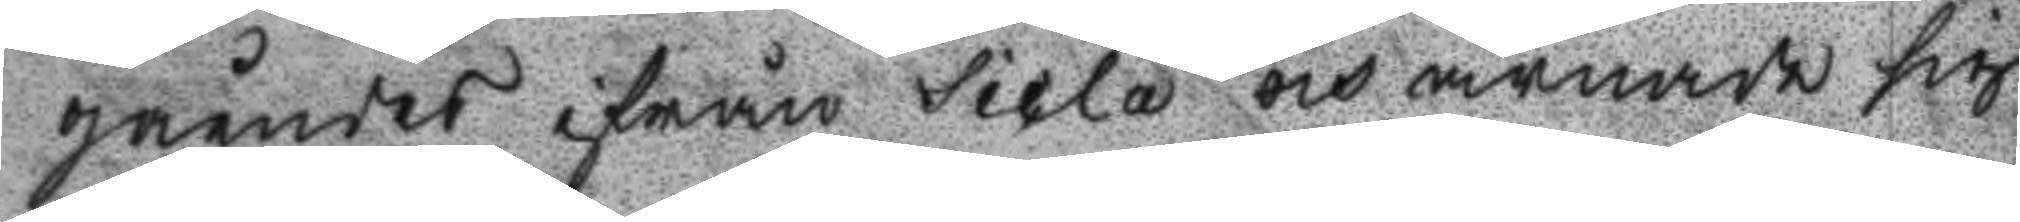gåendes ifrån Sicla och ämnade sig
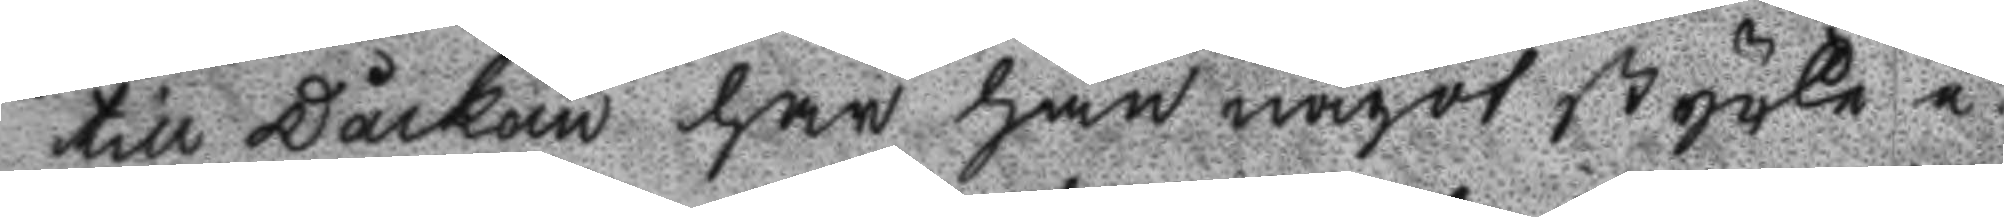till Dåckan har han något stycke i
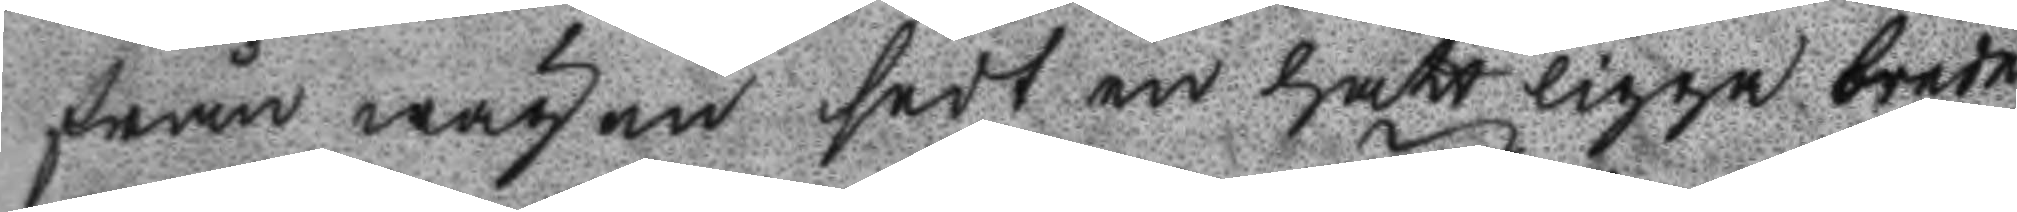från wägen sedt en hatt ligga brede
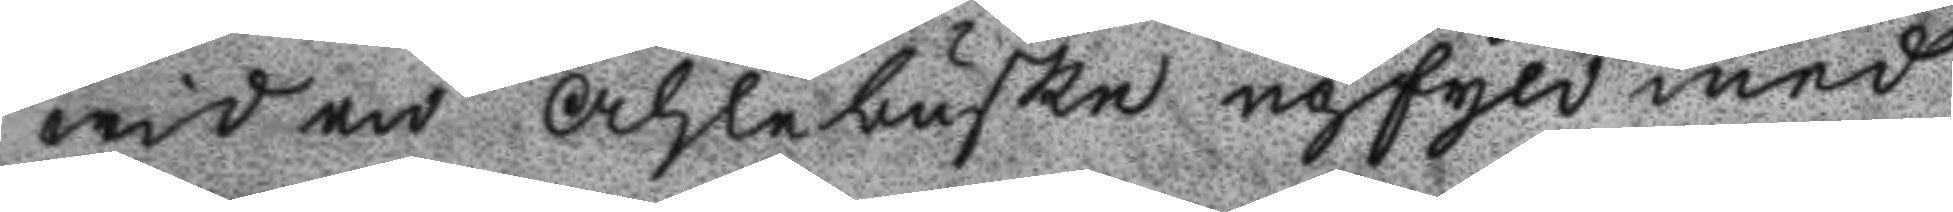wid en Ahlebuske upfyld med
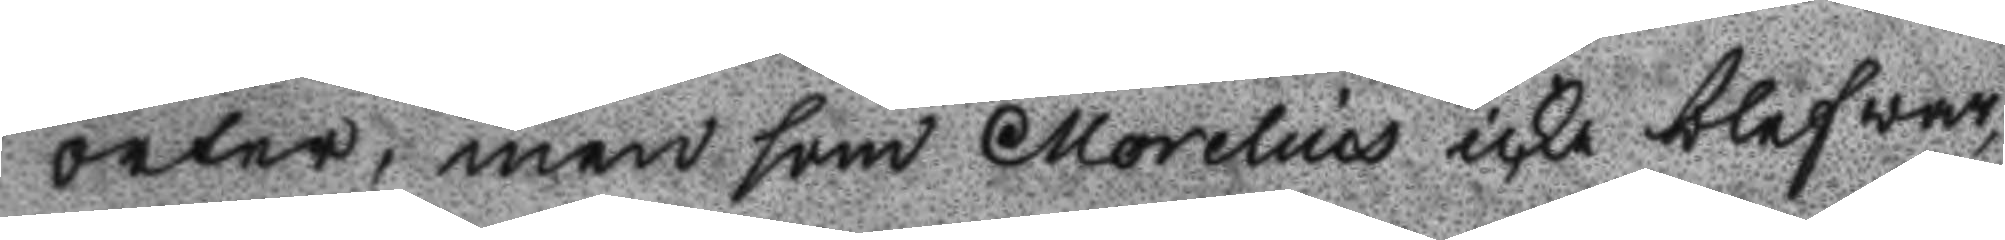örter, men som Morelius icke blef war¬
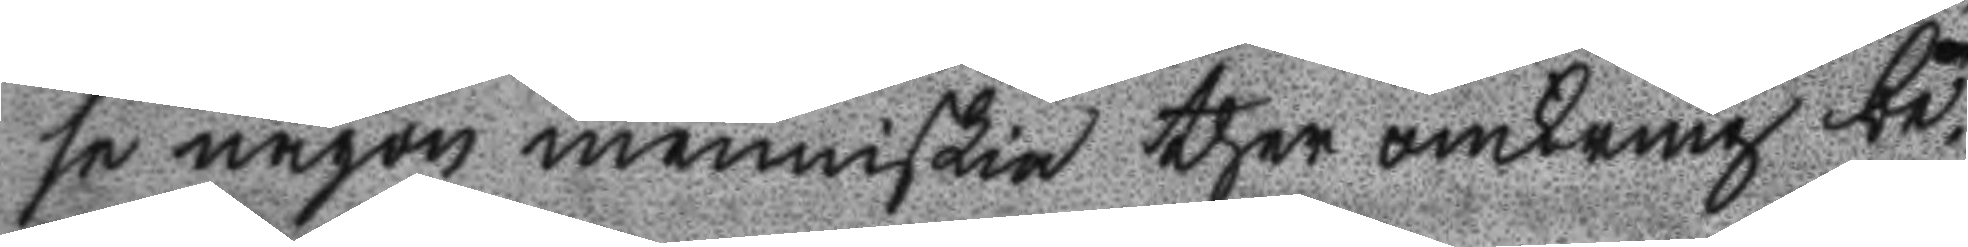se någon menniskia ther omkring be¬
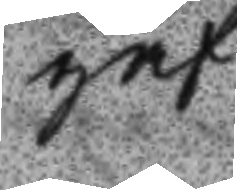gaf
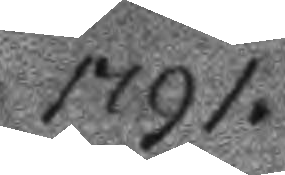1791.
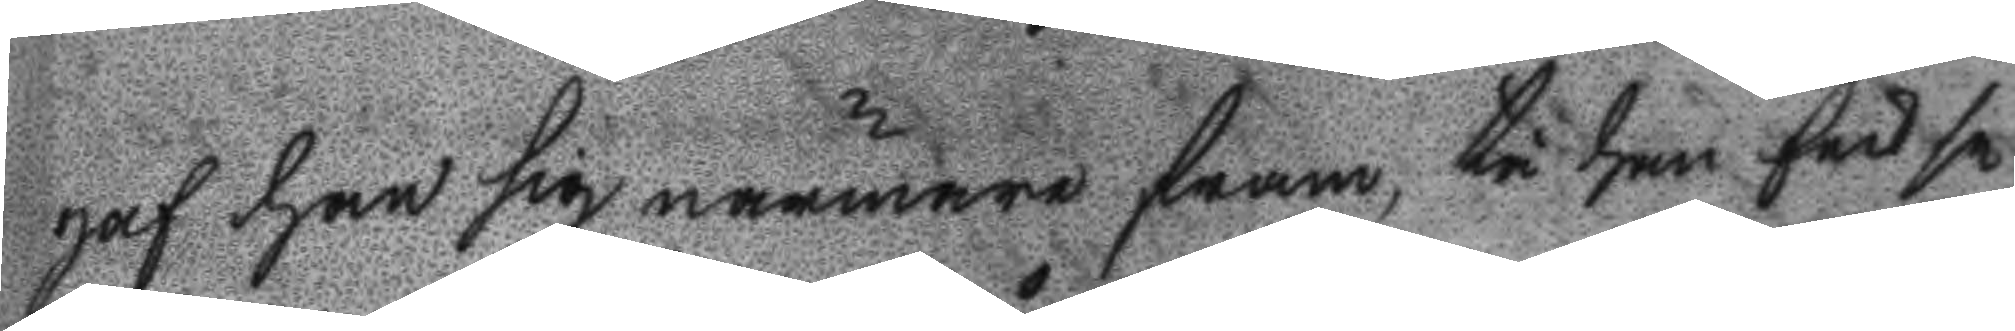gaf ahn sig närmare fram, tå han fick se
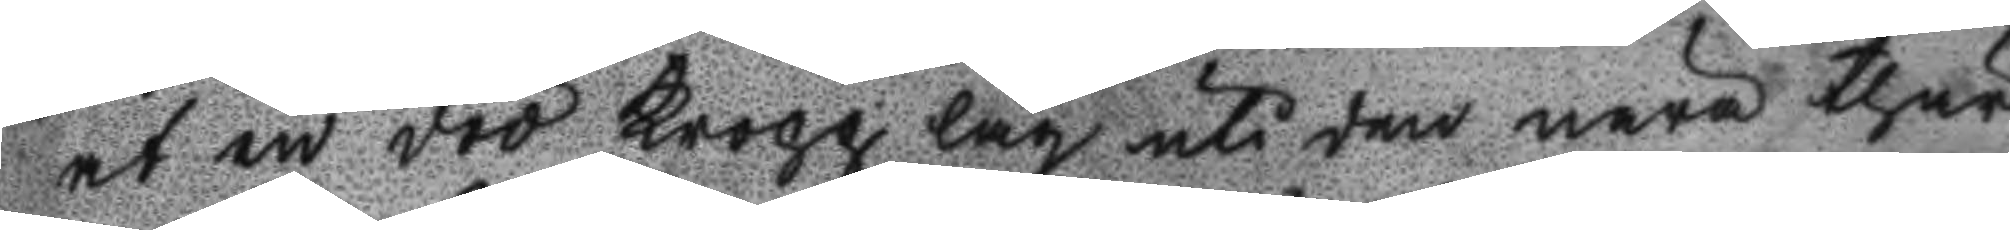at en död kropp låg uti den nära thär
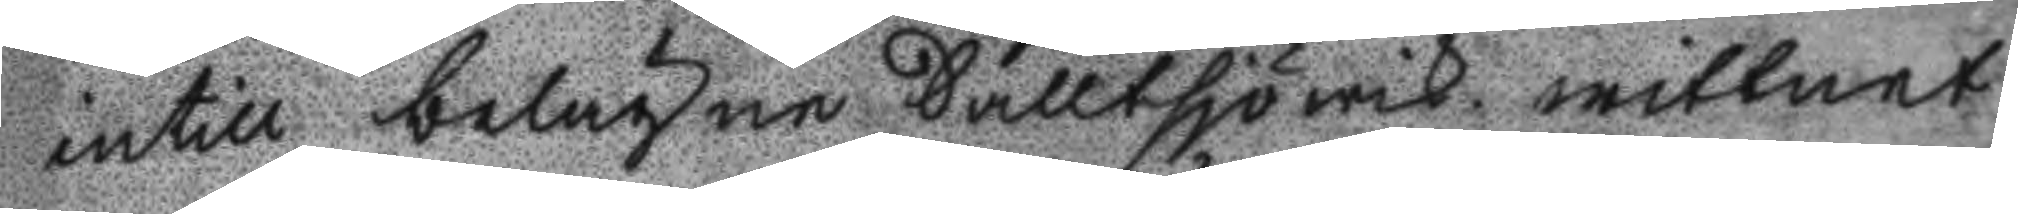untill belägne Salltsjlwik wittnet
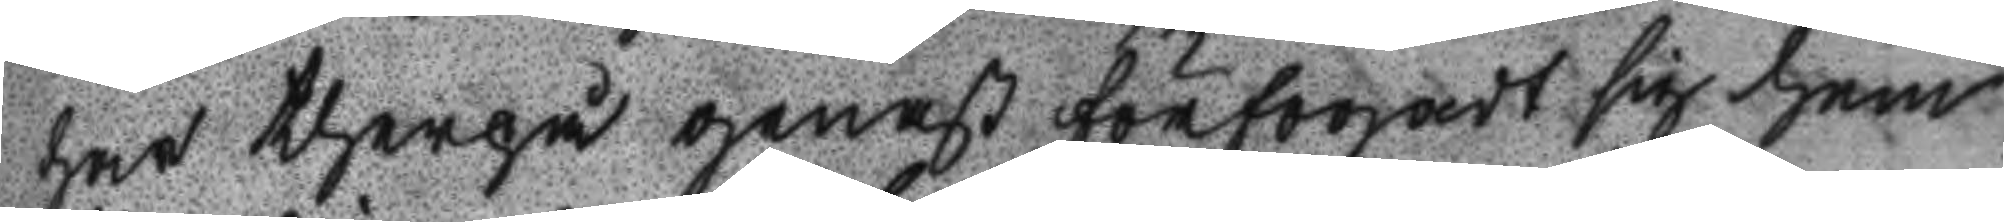har therpå genast förfogadt sig hem
